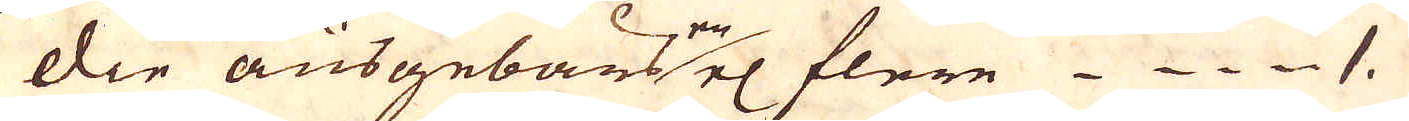die ausgebautne el flere 1.
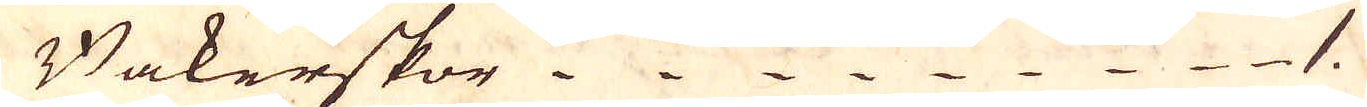Bakerskor.1.
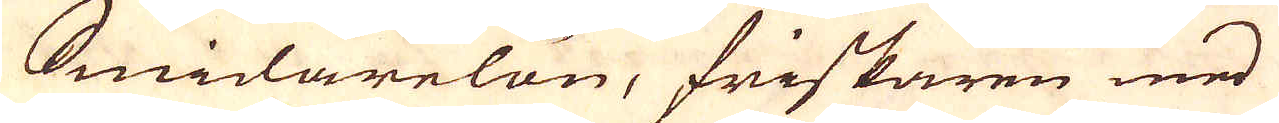Smidarelön, friskaren med
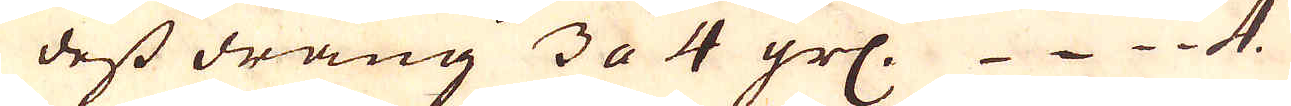dess dräng 3 a 4 grs. 4
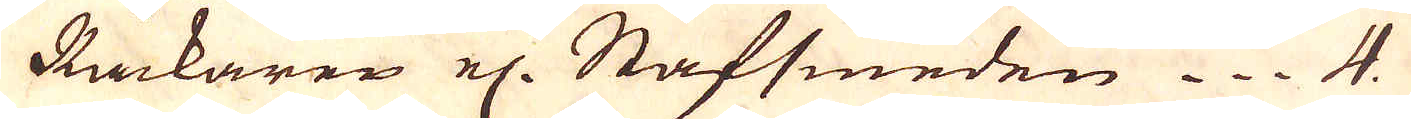Räckaren el: Stafsmeden. 4.
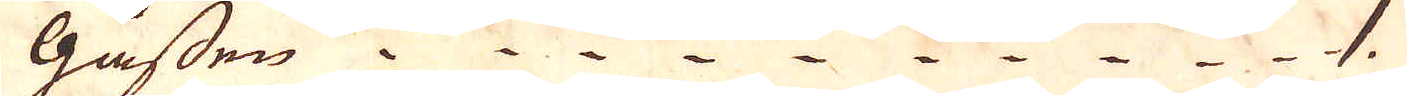Gåssen.1
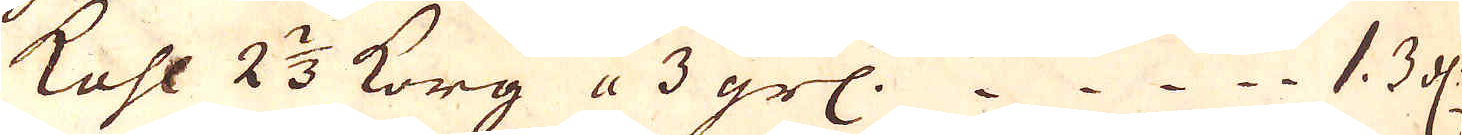Kohl 2 2/3 korg a 3 grs. 1. 3 dl.
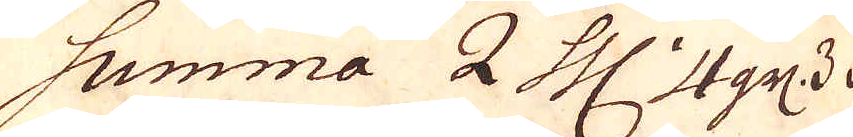Summa 2 Thl 4 grs 3 d.
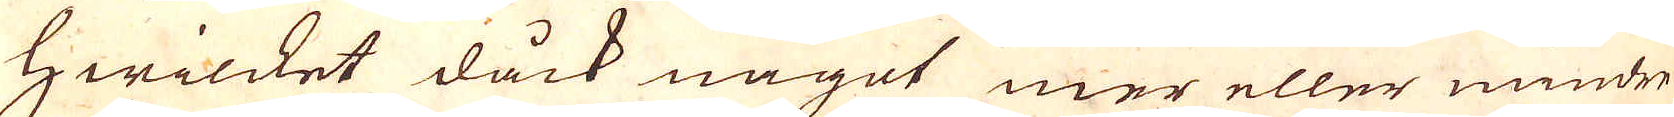Hwilcket dåck något mer eller mindre
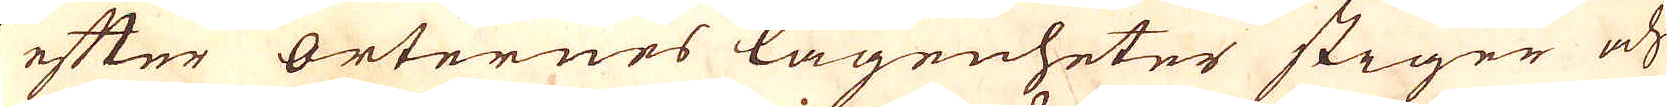efter orternes lägenheter stiger och
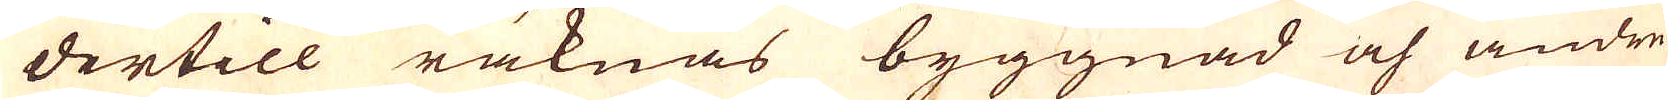dertill räknas byggnad och andre
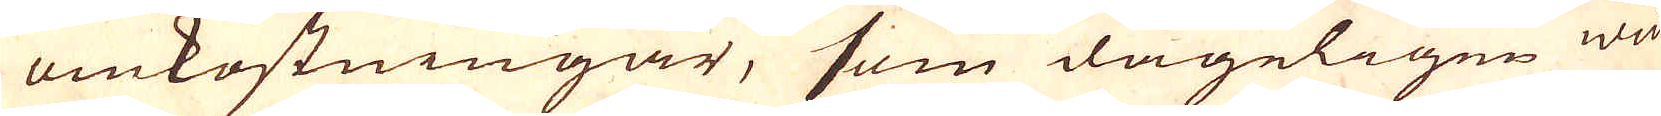omkostningar, som dageligen wid
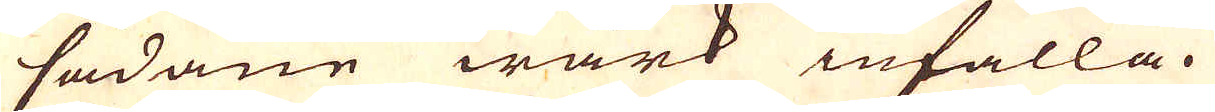sådane wärk infalla.
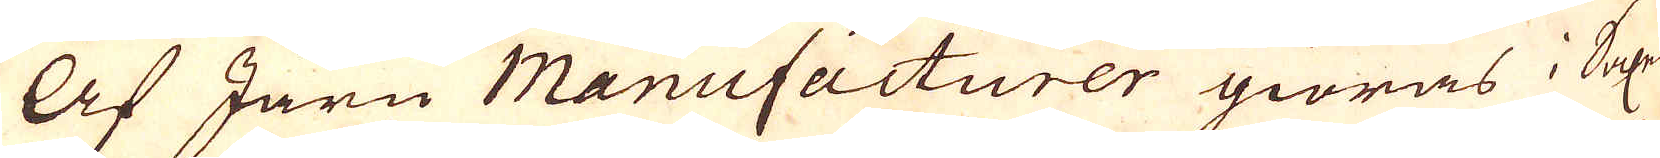Af Järn Manufacturer giöras i Saxen
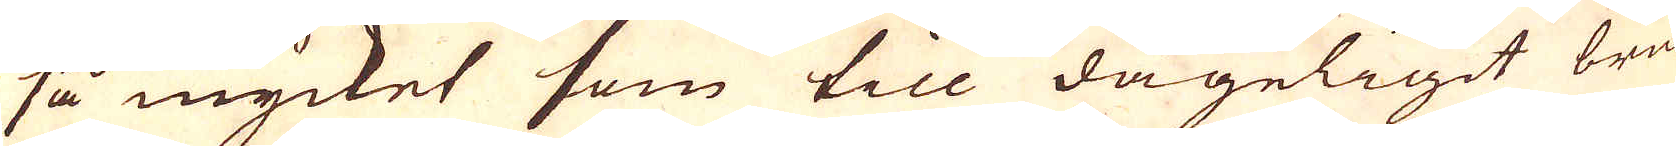så mycket som till dageligit bruk
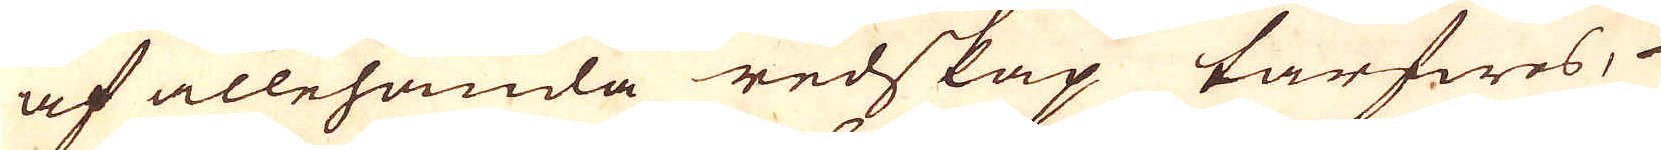af allehanda redskap tarfwes,
